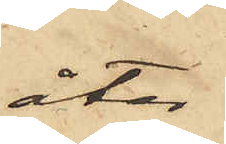åter
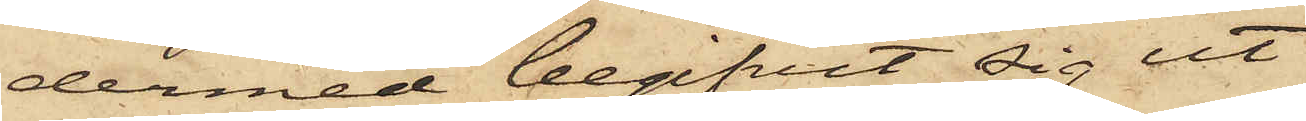dermed begifvit sig ut
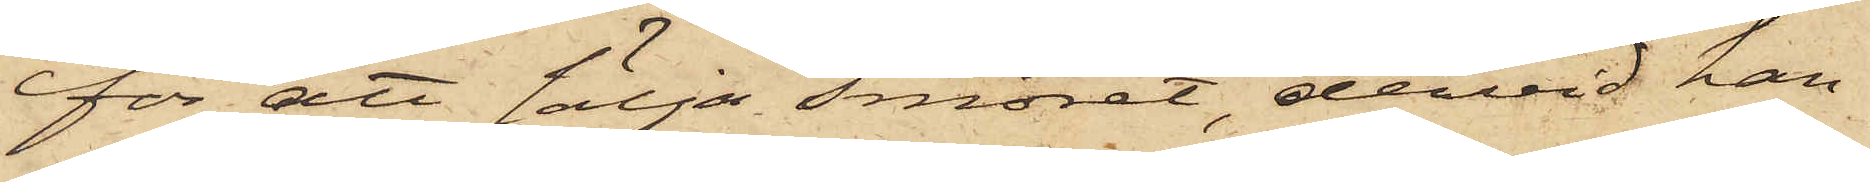för att sälja smöret, dervid han
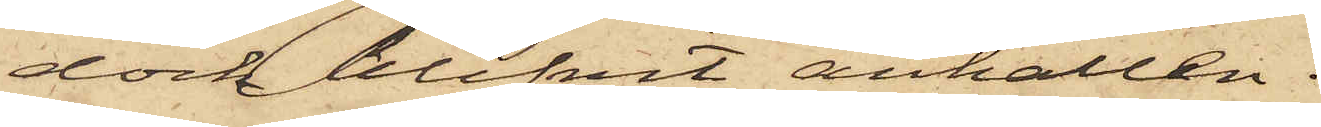dock blifvit anhållen.
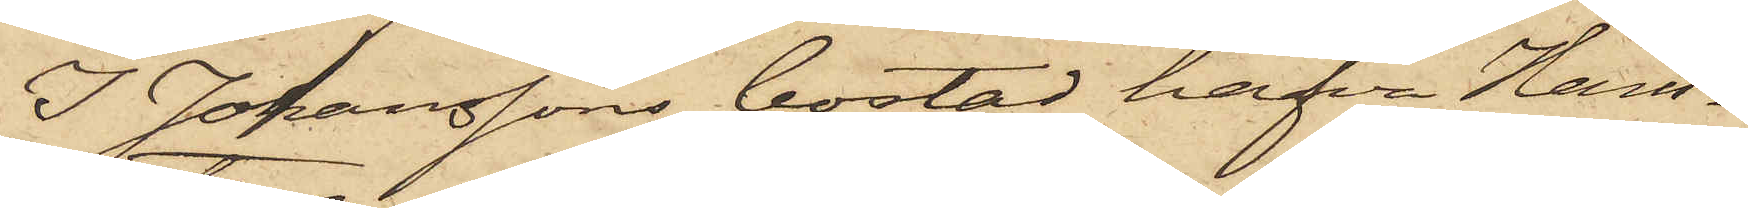I Johanssons bostad hafva Hans¬
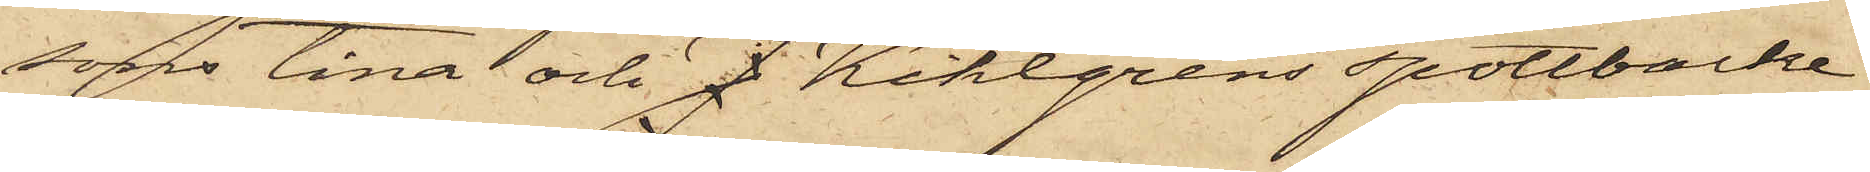sons tina och J Kihlgrens spottbacke
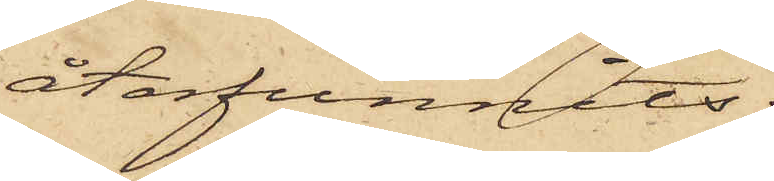återfunnits.
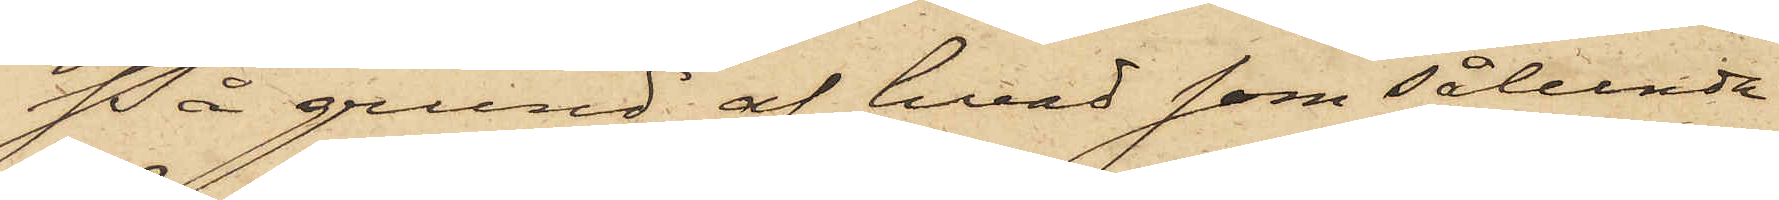På grund af hvad som sålunda
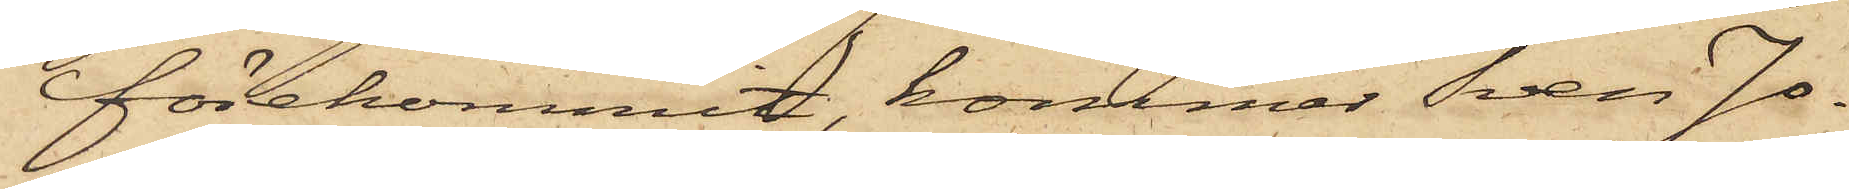förekommit, kommer Sven Jo¬
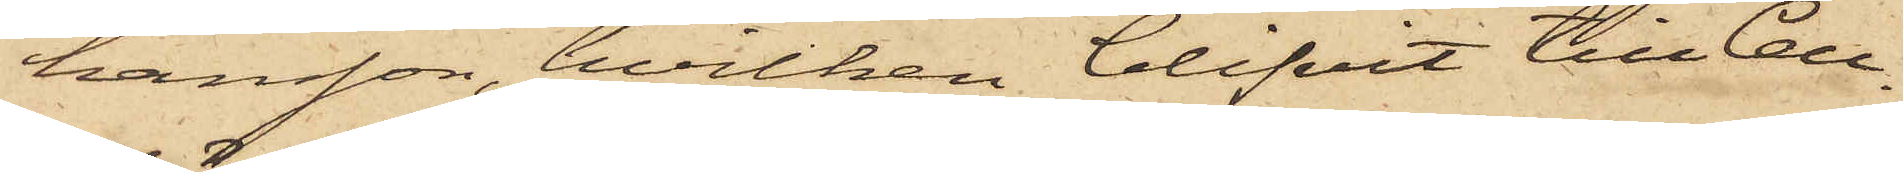hansson, hvilken blifvit till Cell¬
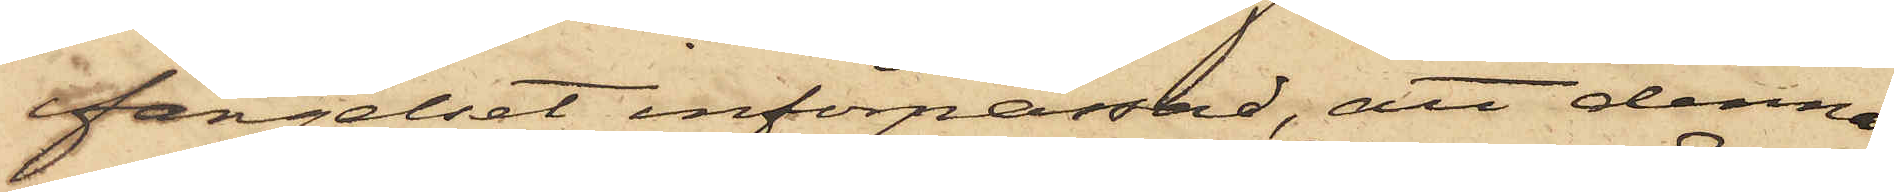fängelset införpassad, att denna
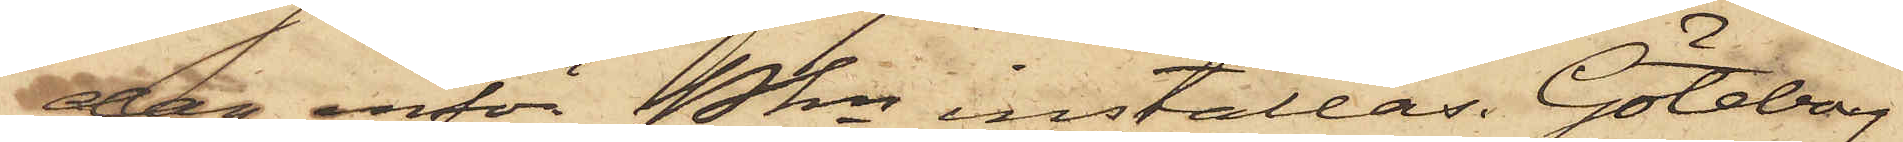dag inför Pkn inställas. Göteborg
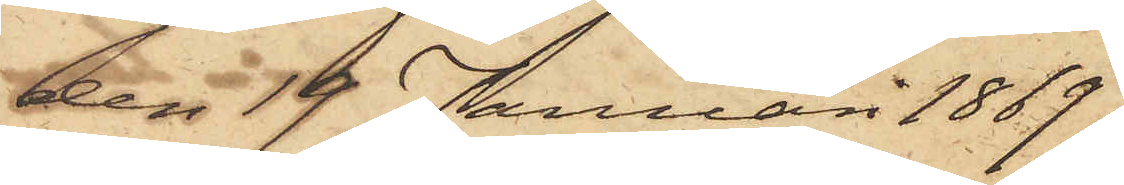den 19 Januari 1869.
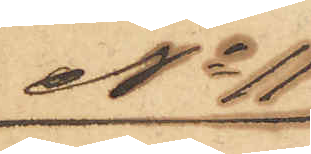No 11
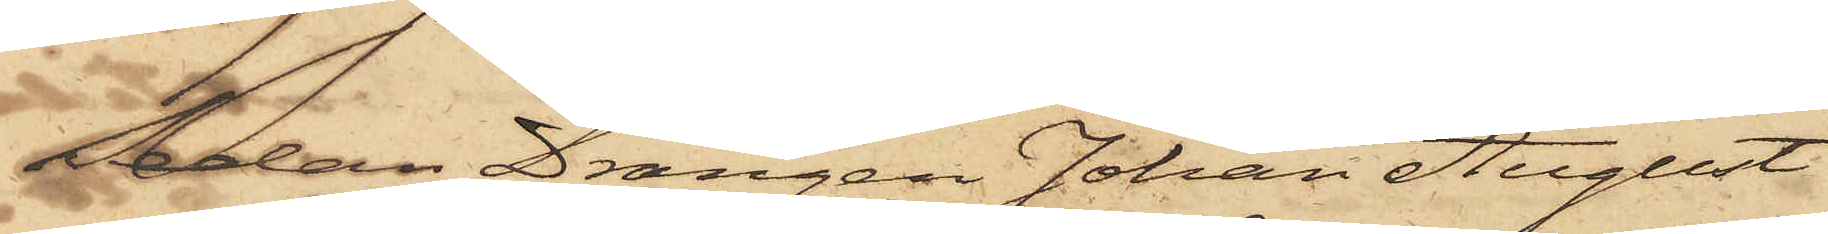Sedan Drängen Johan August
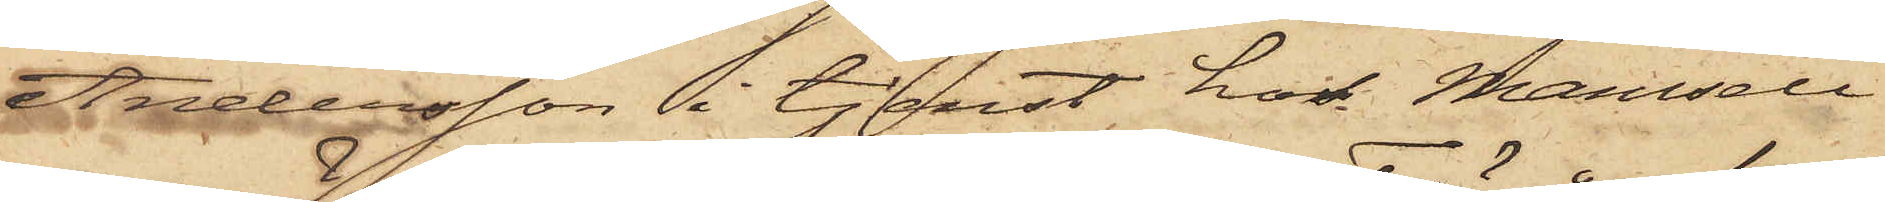Andersson i tjenst hos Mamsell
